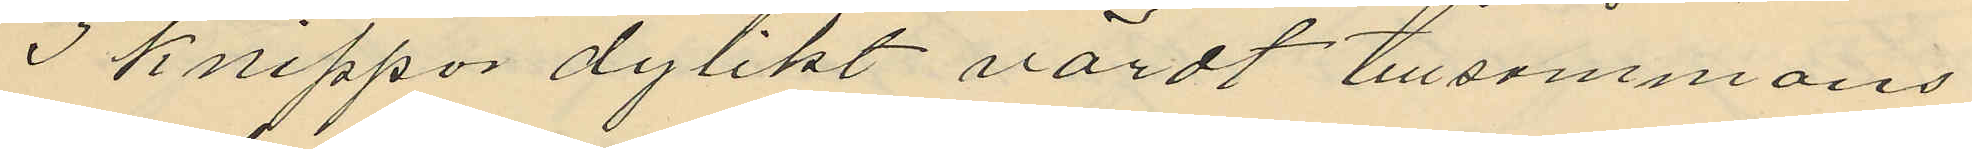3 knippor dylikt värdt tillsammans
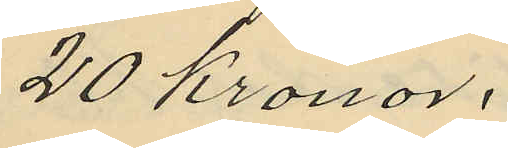20 Kronor.
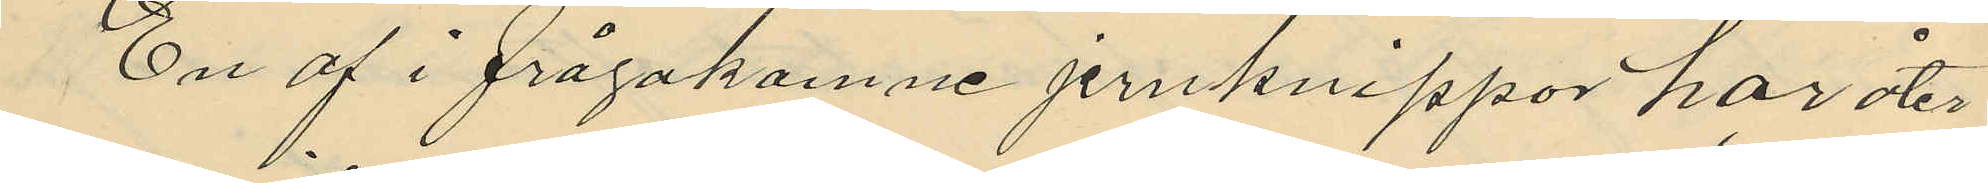En af i frågakomne jernknippor har åter¬
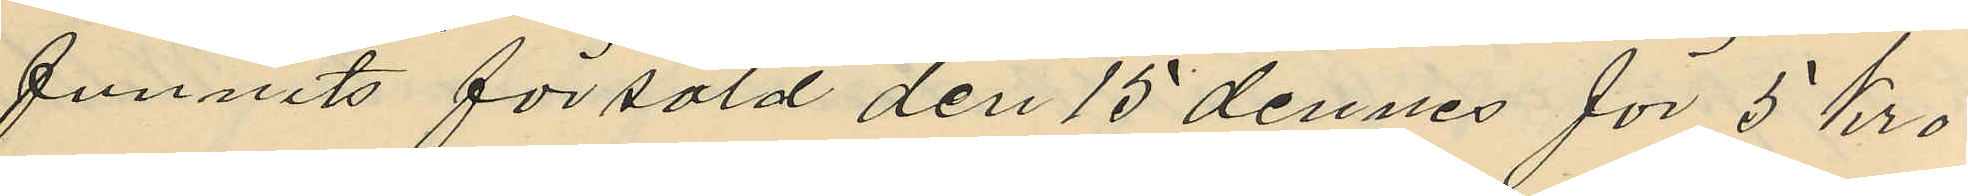funnits försåld den 15 dennes för 5 kro
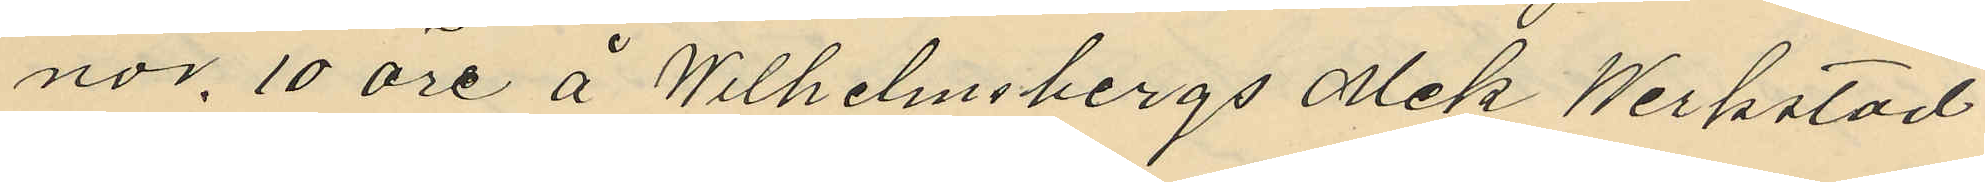nor 10 öre å Wilhelmsbergs Mek Werkstad
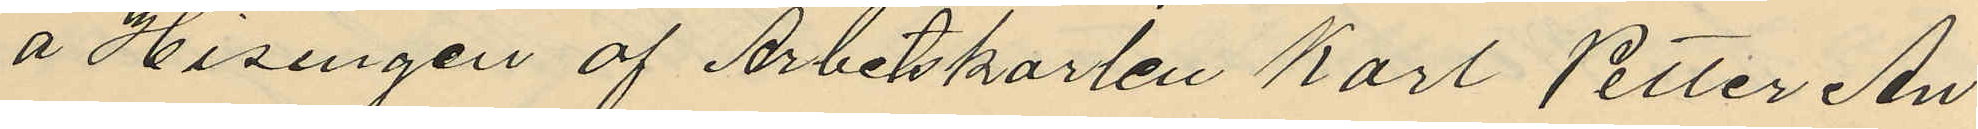å Hisingen af Arbetskarlen Karl Petter An¬
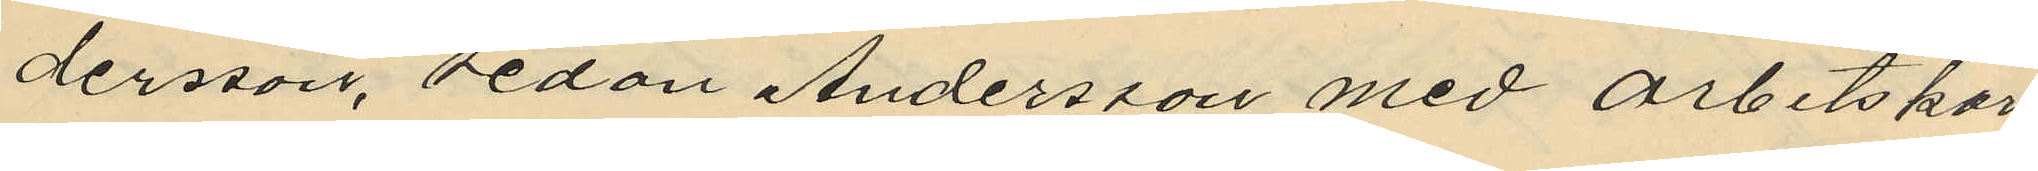dersson, sedan Andersson med arbetskar
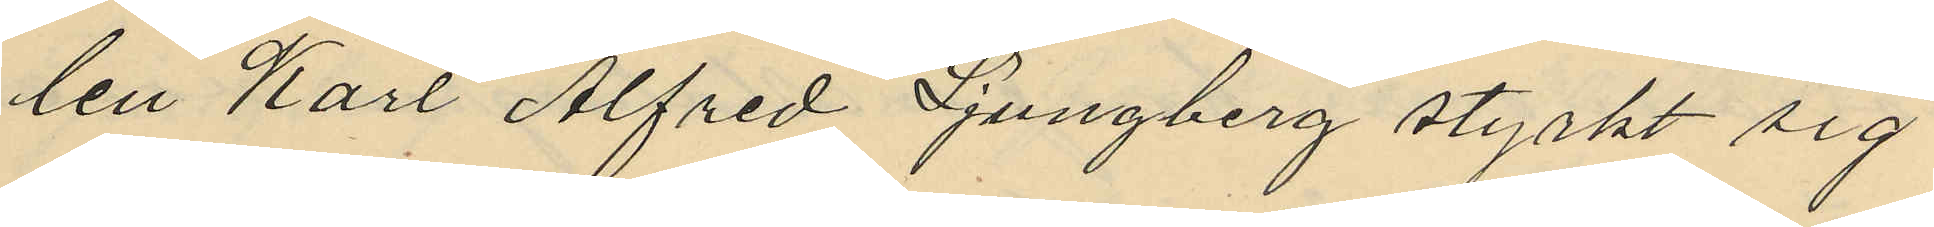len Karl Alfred Ljungberg styrkt sig
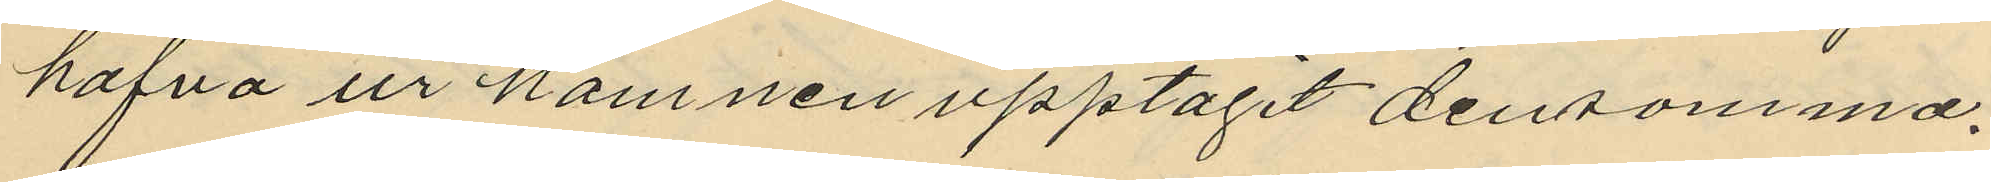hafva ur hamnen upptagit densamma.
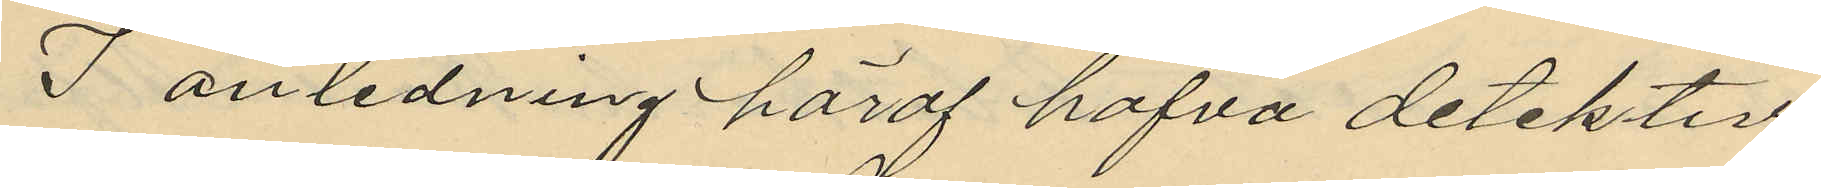I anledning häraf hafva detektiv¬
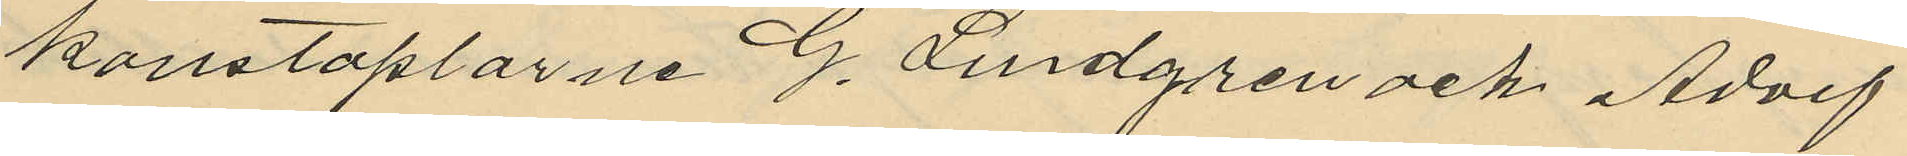konstaplarne G. Lindgren och Adolf
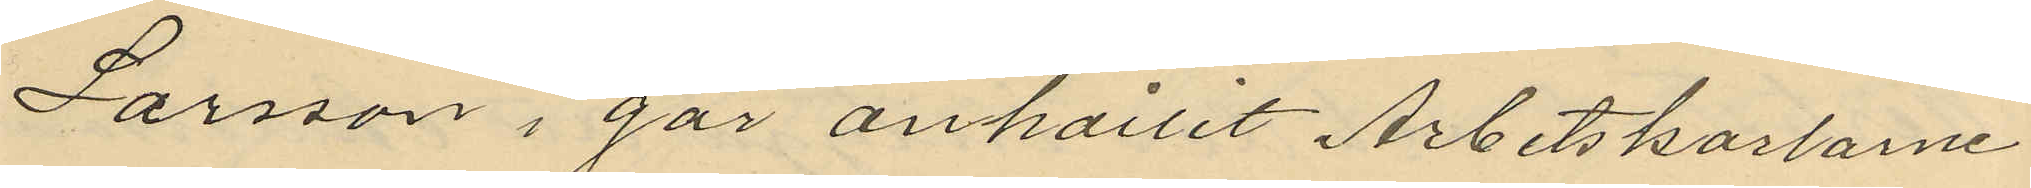Larsson i går anhållit Arbetskarlarne
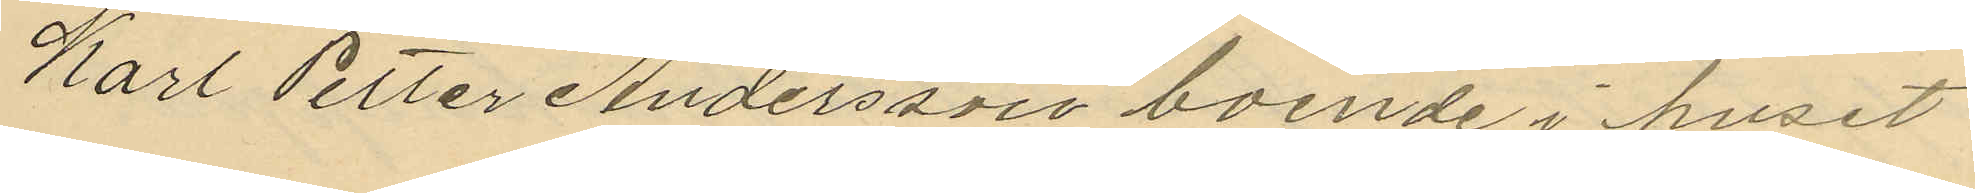Karl Petter Andersson boende i huset
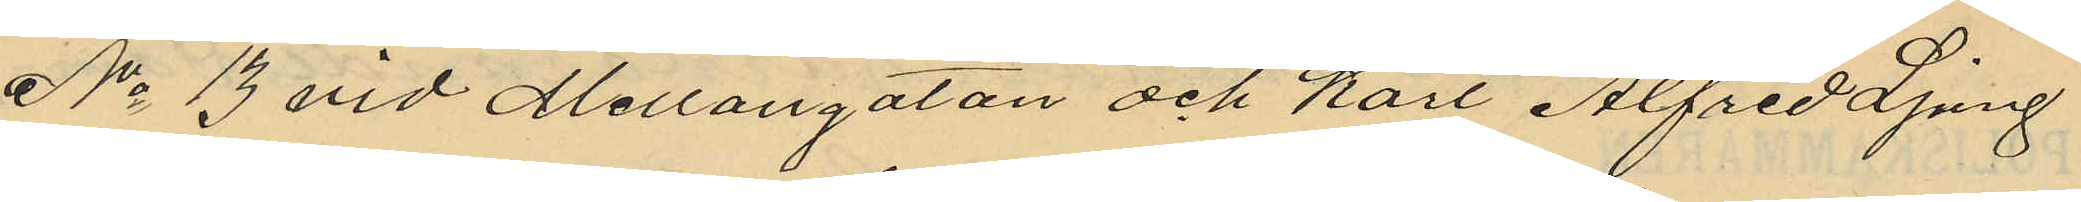No 13 vid Mellangatan och Karl Alfred Ljung
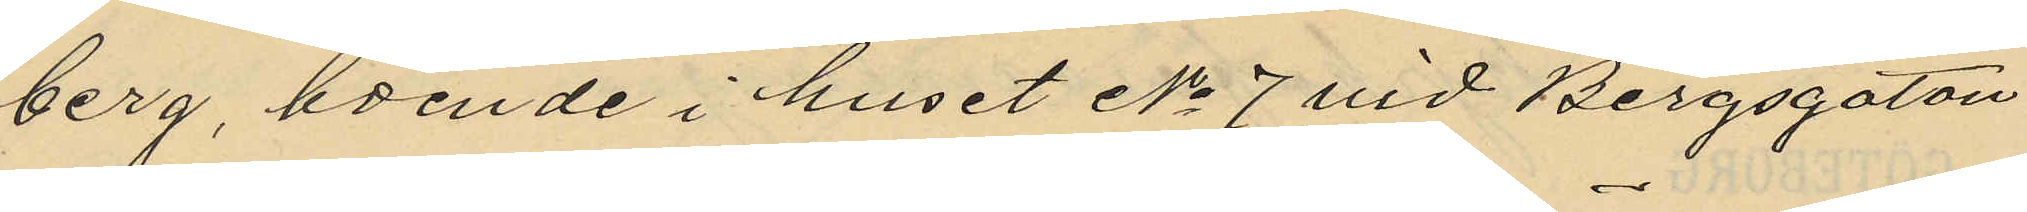berg, boende i huset No 7 vid Bergsgatan
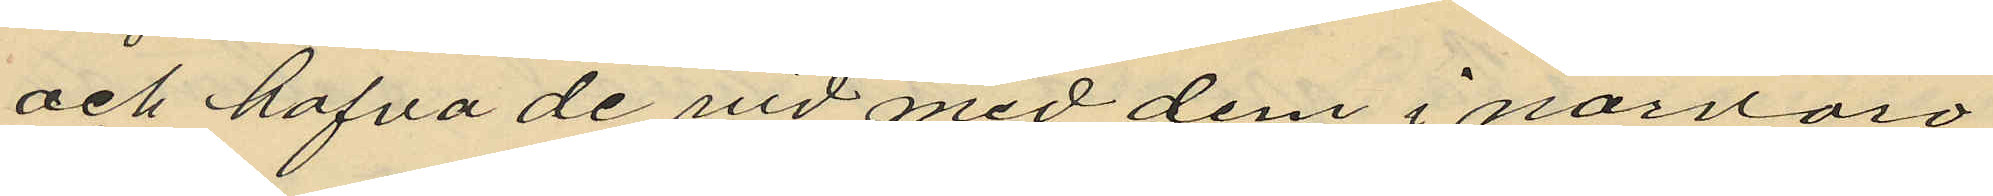och hafva de vid med dem i nävaro
